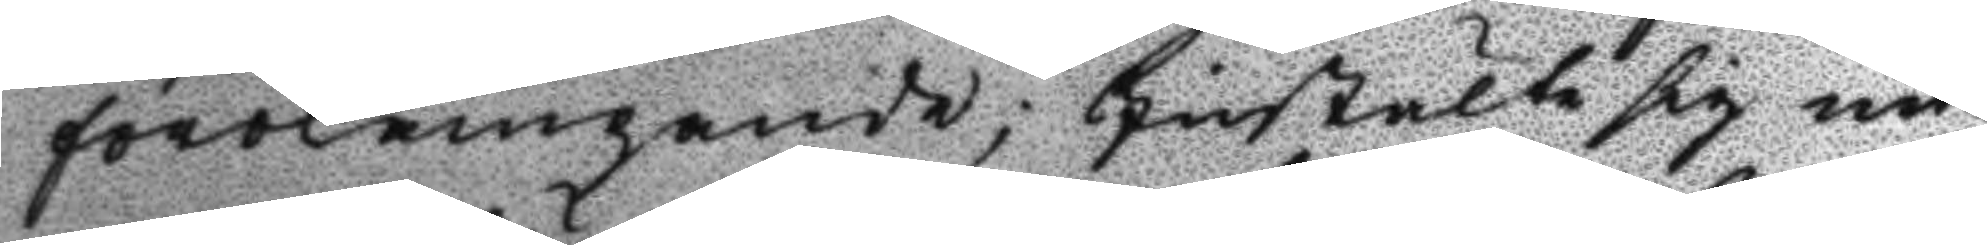förolämpande; Instälte sig nu
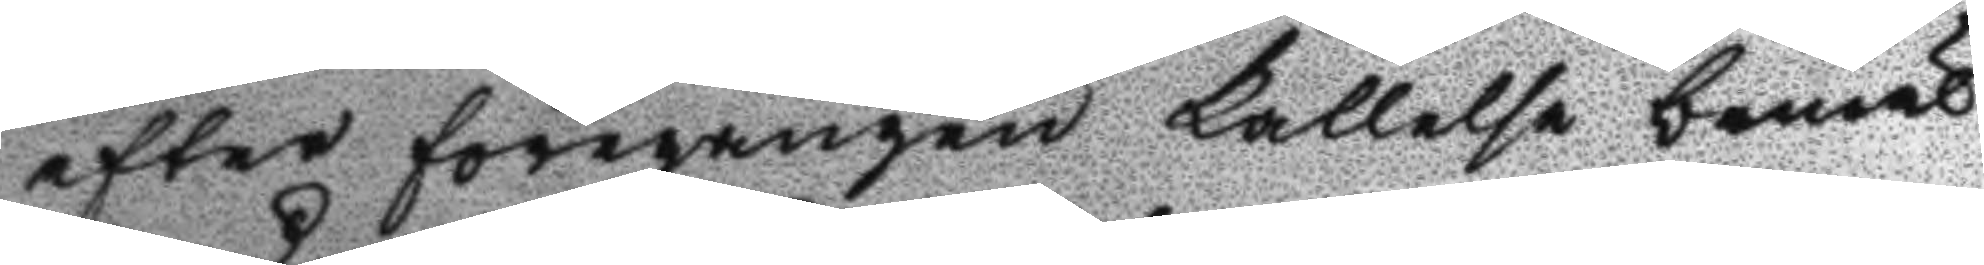efter föregången kallelse bemäl¬
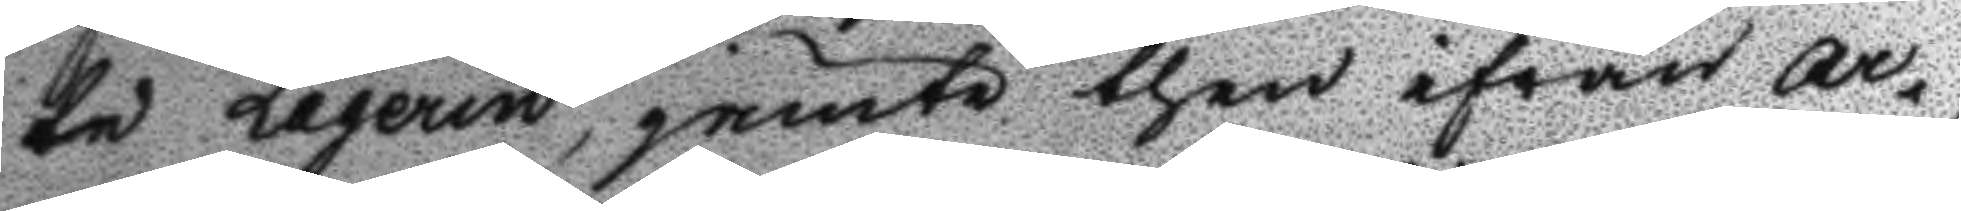te Laqerin, jemte then ifrån Ar¬
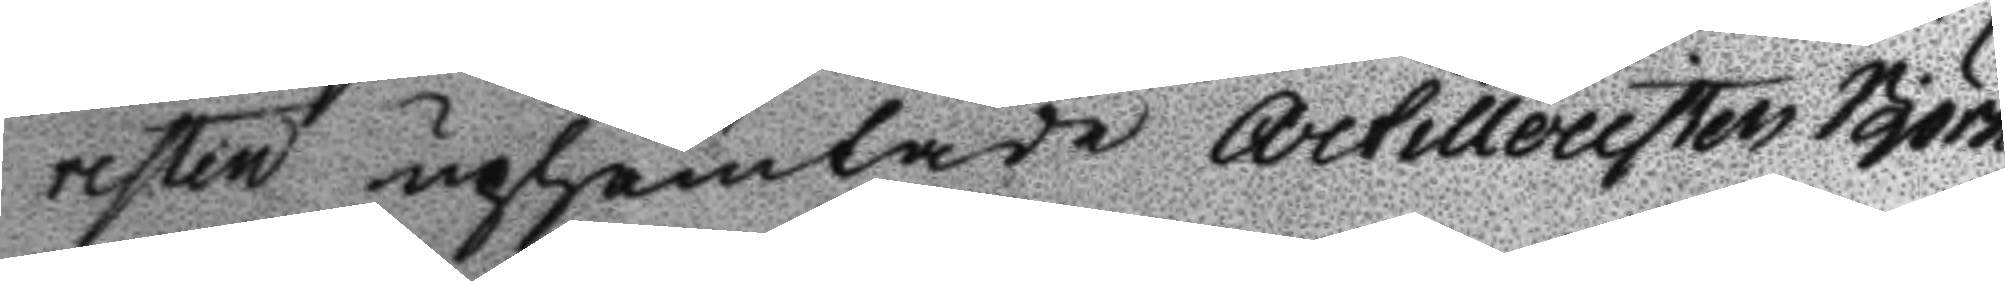resten uphämtade Artilleristen Björn
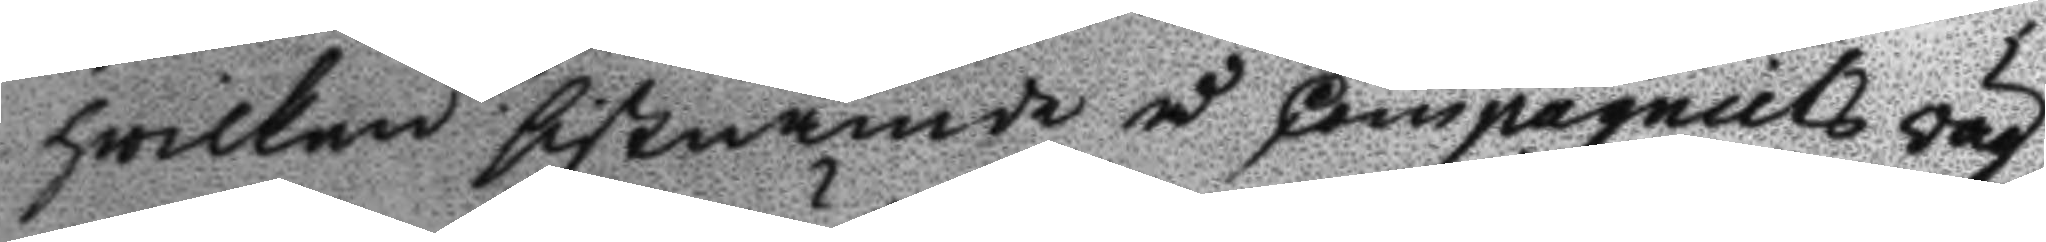hwilken sistnämde å Compagniets väg¬
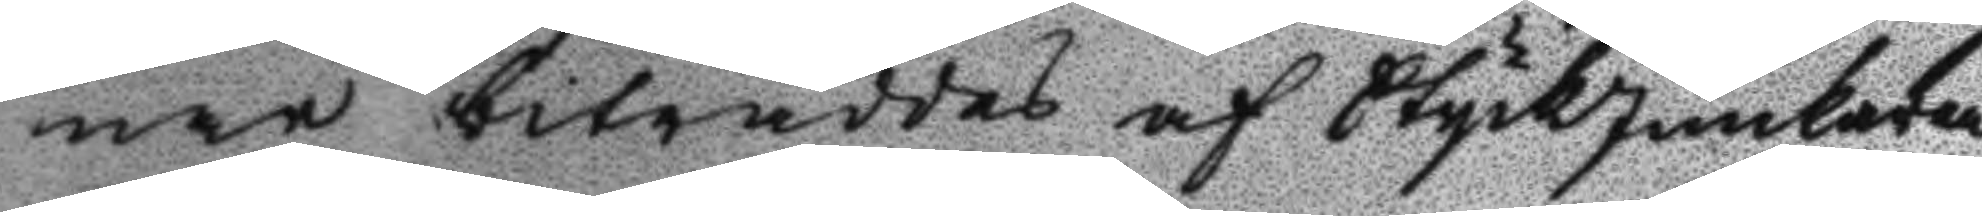nar biträddes af StyckJunkaren
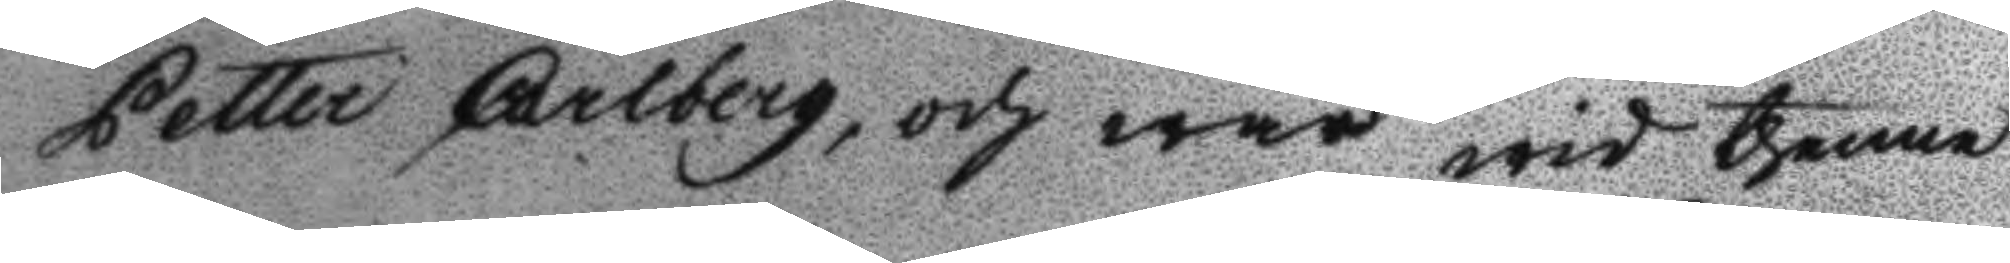Petter Carlberg, och war wid thenne
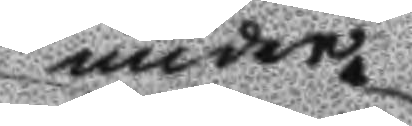under
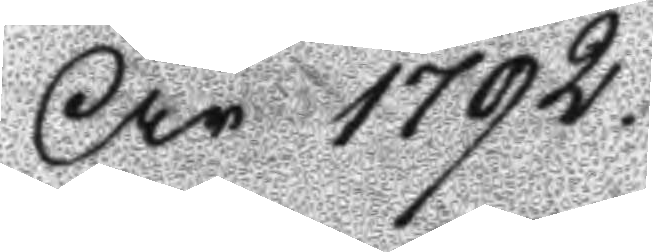År 1792.
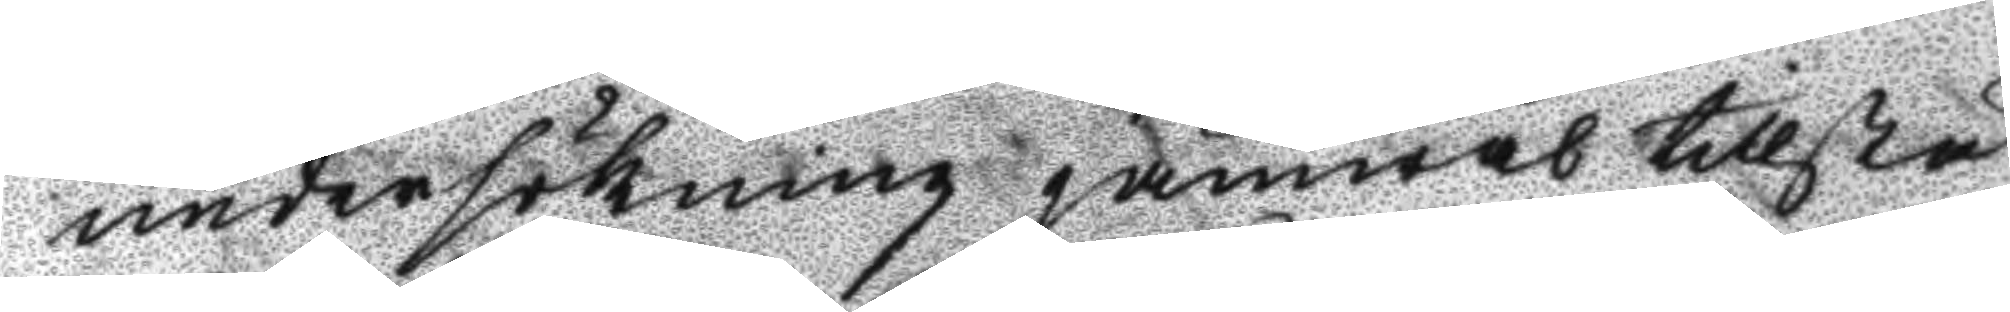undersökning jämwäl tillstä¬
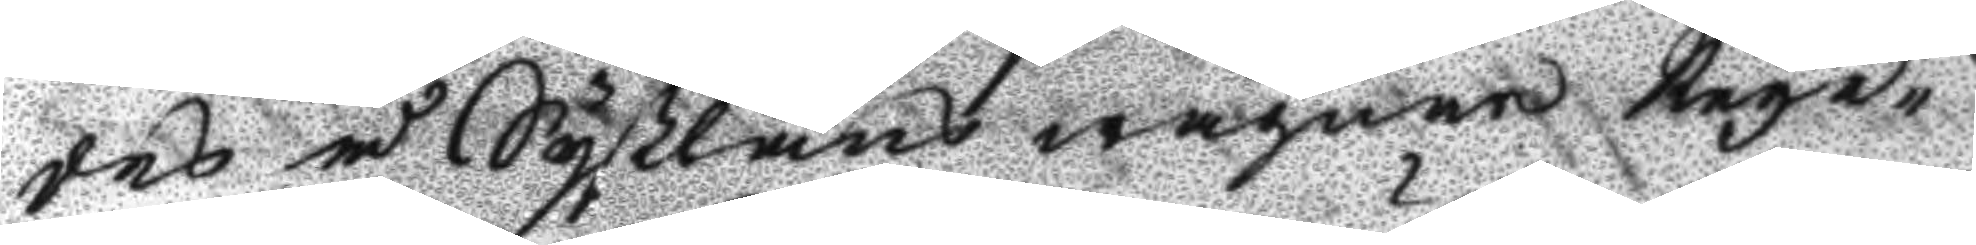des å Syßlans wägnar Rege¬
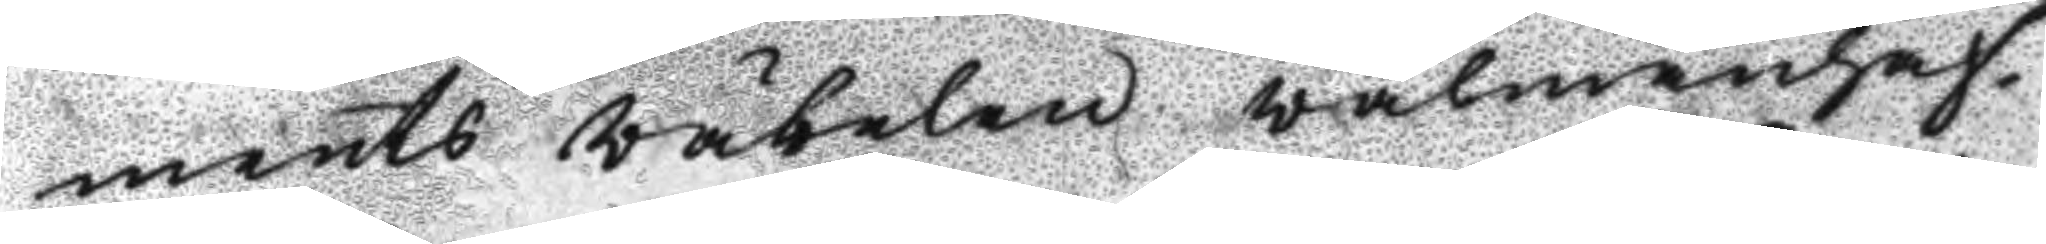ments väbelen välmanhaf¬
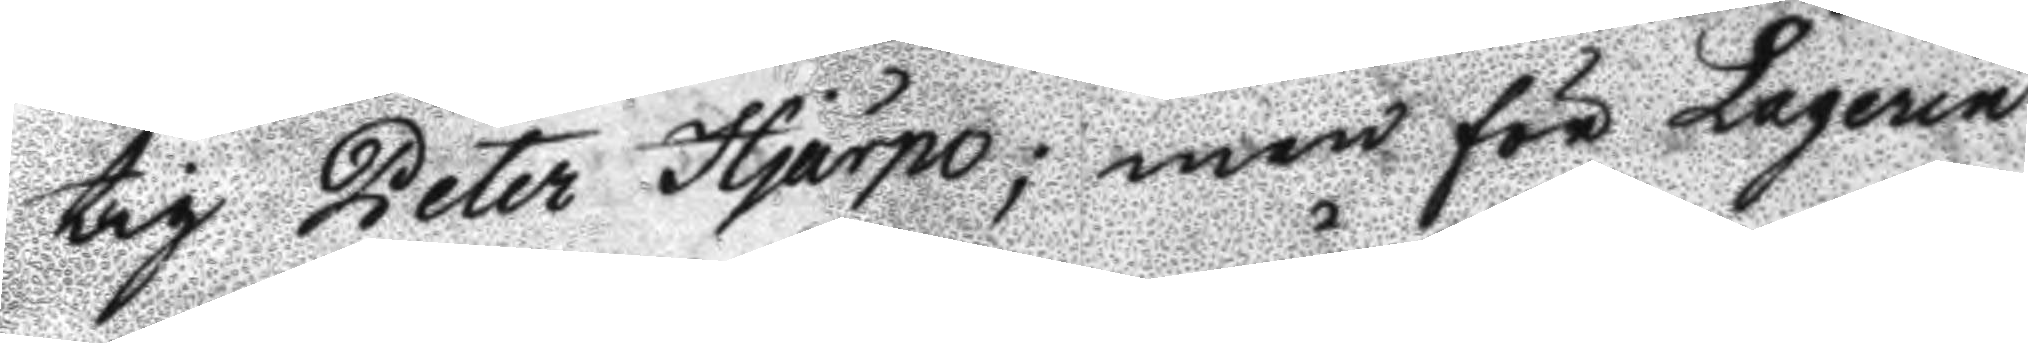tig Peter Hjärpe; men för Laqerin
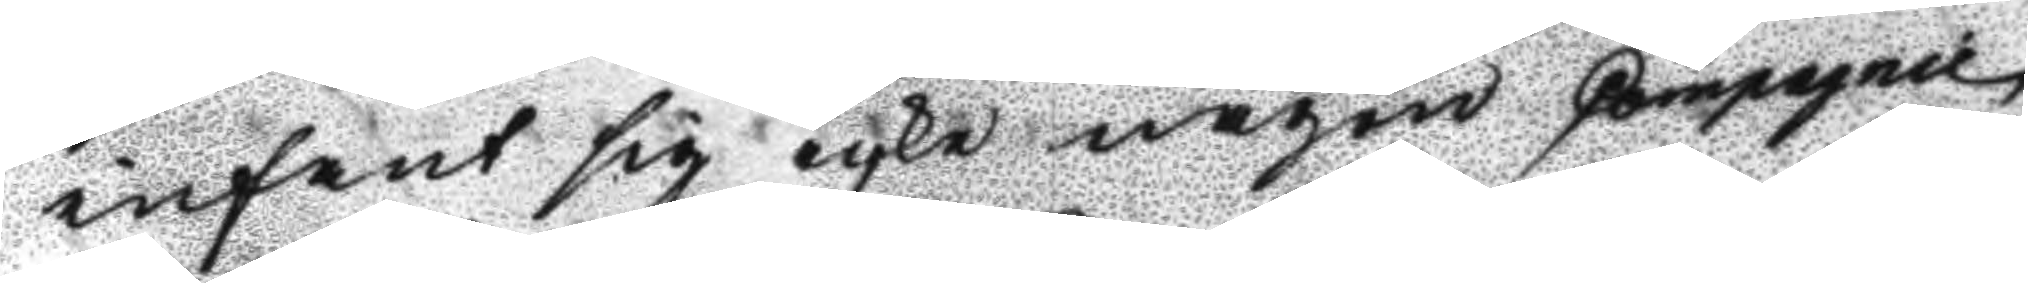infant sig icke någon Compagnie
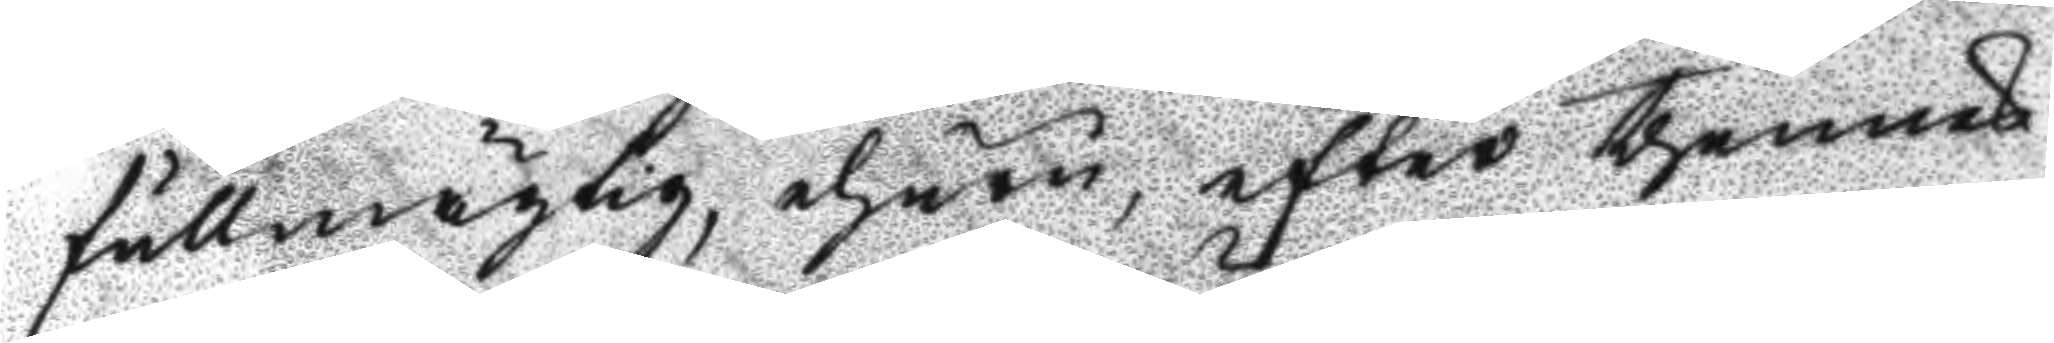fullmägtig, ehuru, efter thennes
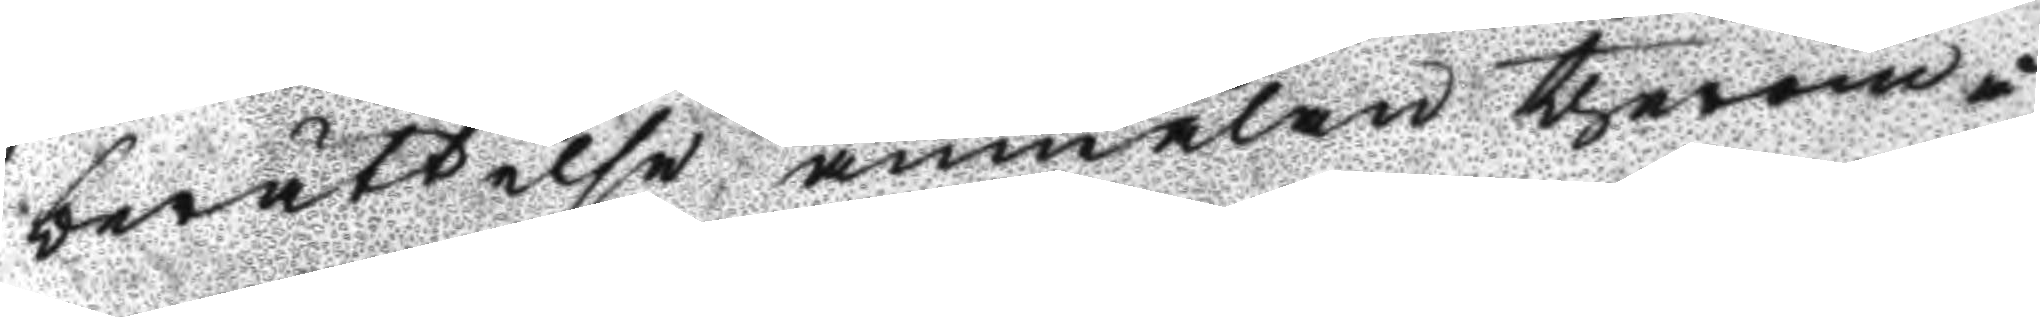berättelse anmälan therom å
